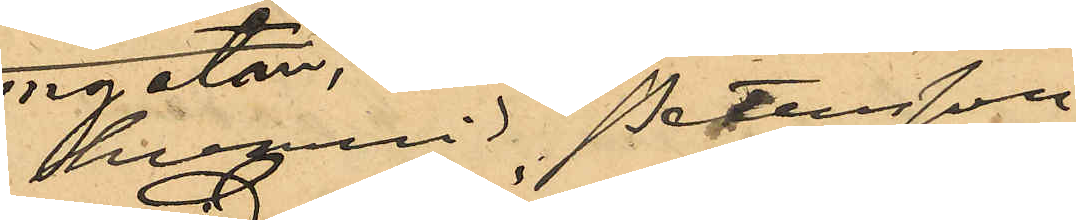hvarvid Pettersson
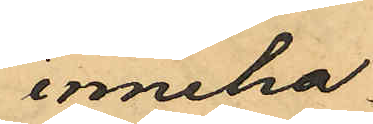inneha¬
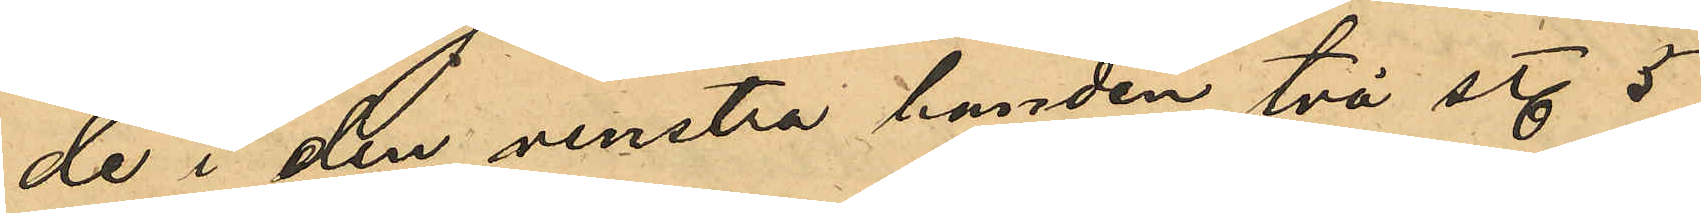de i den venstra handen två st. 5
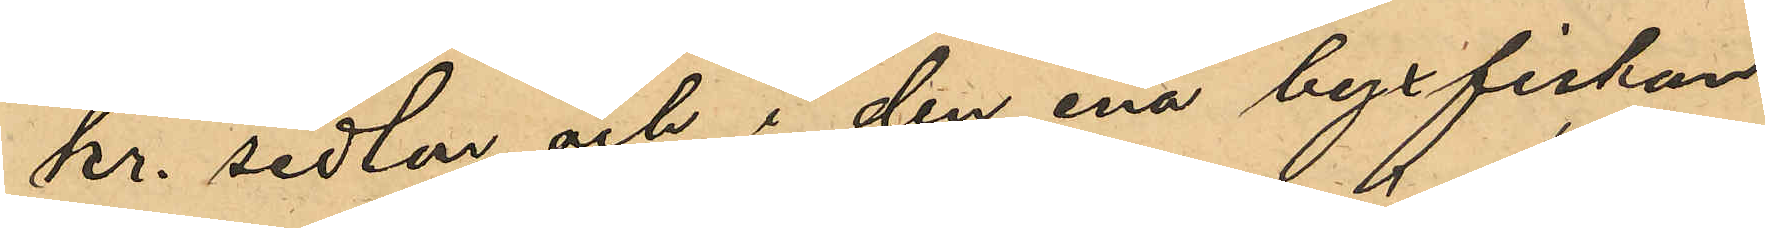kr. sedlar och i den ena byxfickan
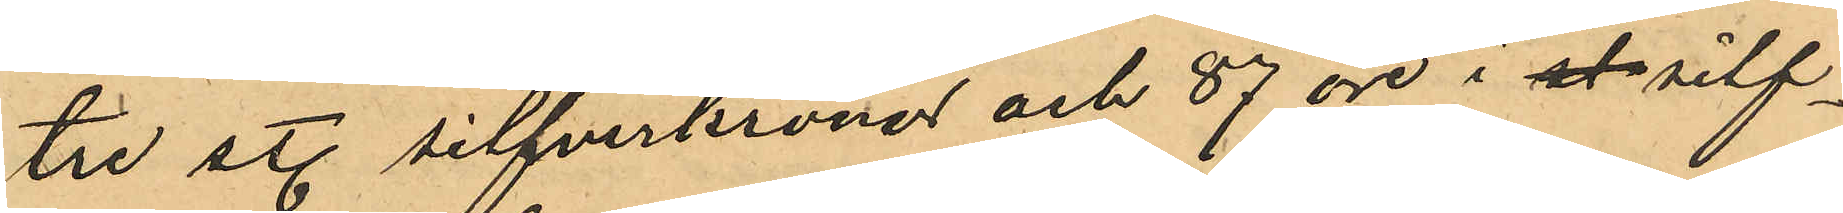tre st. silfverkronor och 87 öre i st silf¬
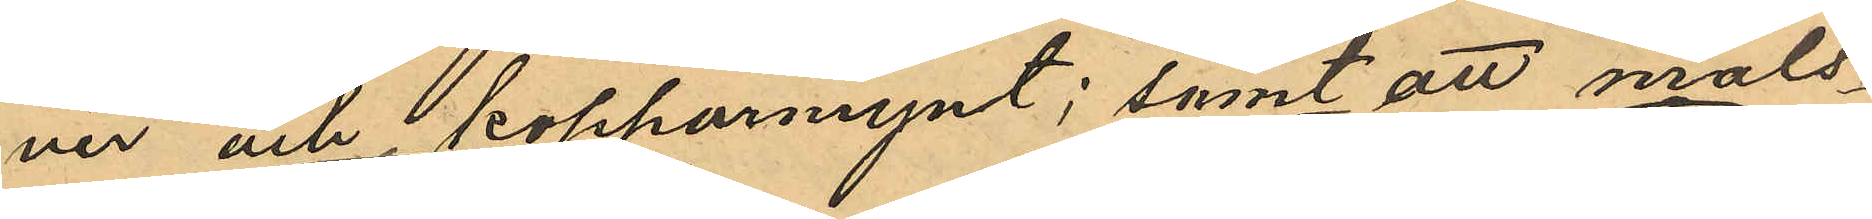ver och kopparmynt; samt att måls¬
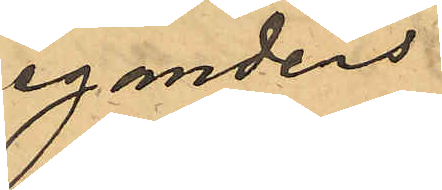egandens
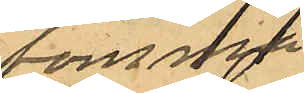tomma
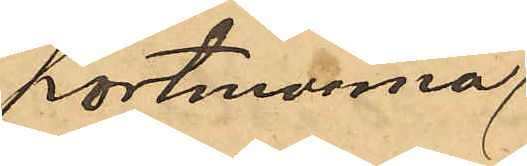portmonnä,
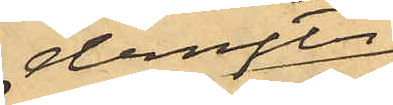derefter
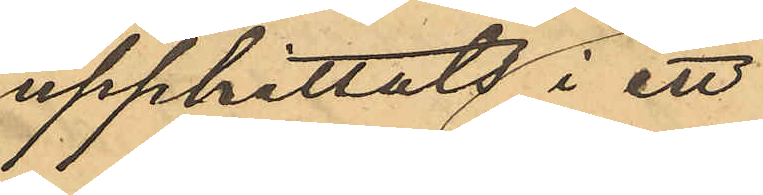upphittats i ett
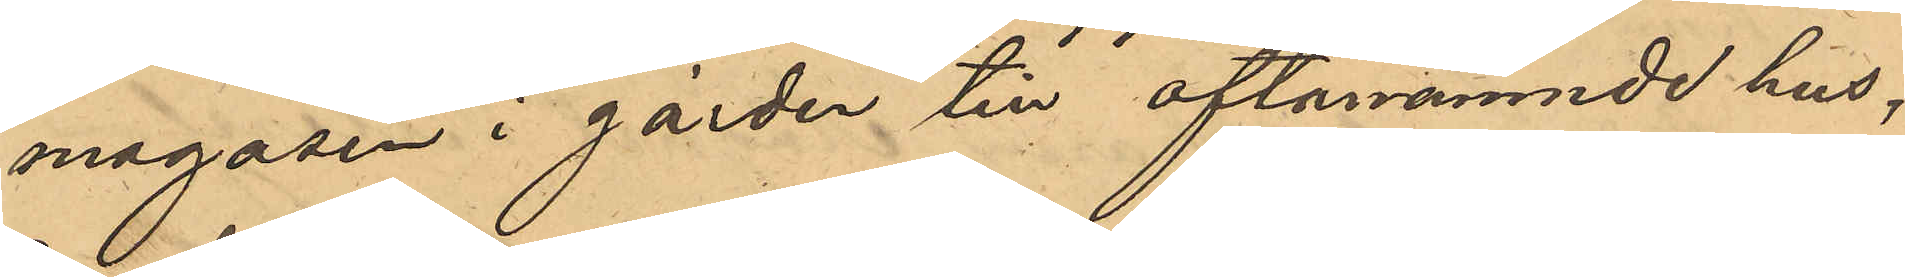magasin i gården till oftanämnde hus.
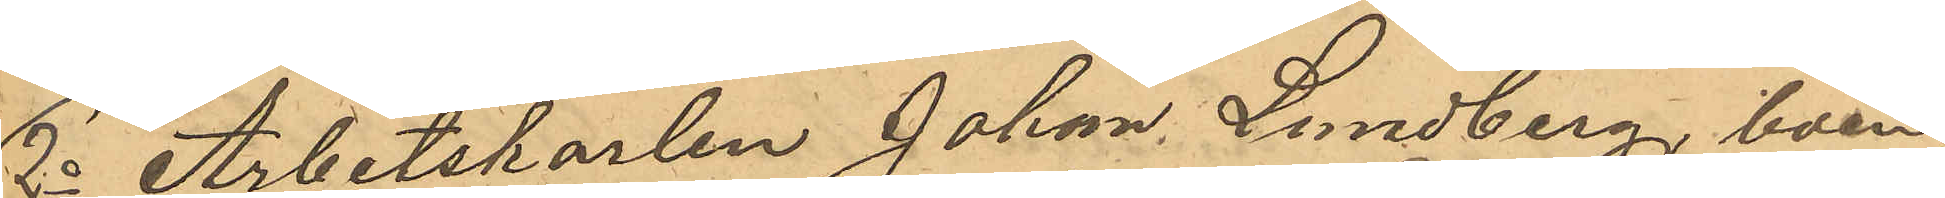2o Arbetskarlen Johan Lundberg, boen¬
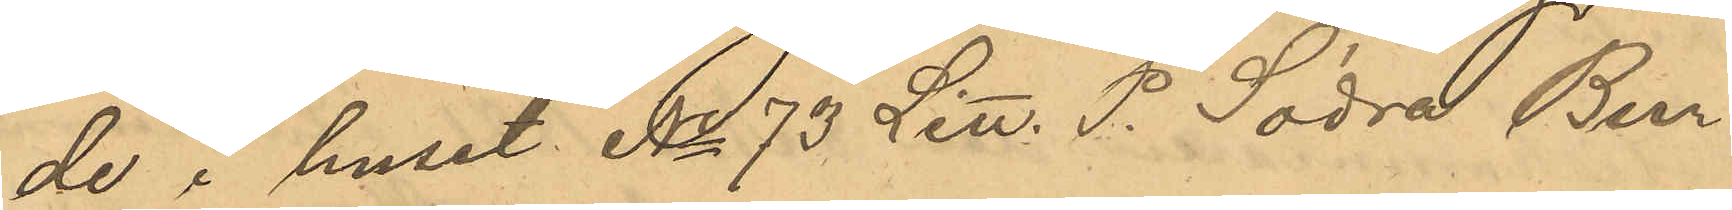de i huset No 73 Litt. P. Södra Bur¬
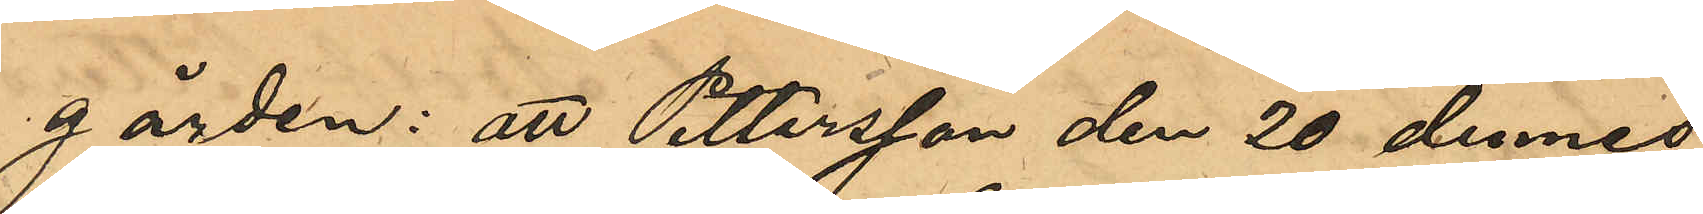gården: att Pettersson den 20 dennes
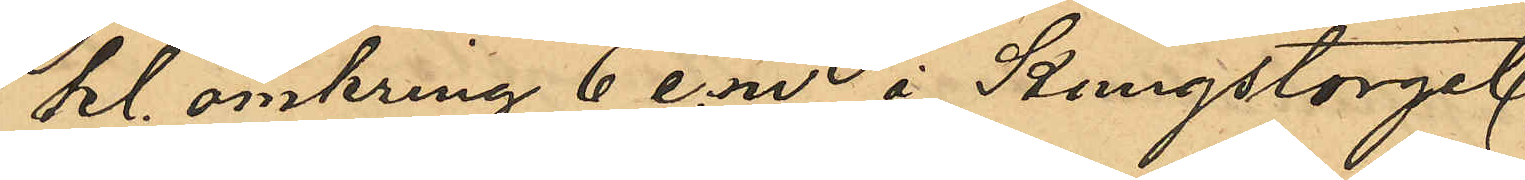kl. omkring 6 e.m. å Kungstorget
